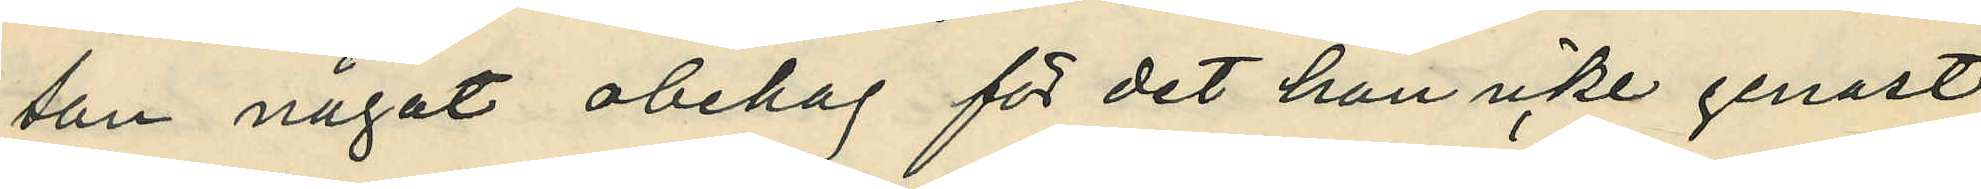son något obehag för det han icke genast
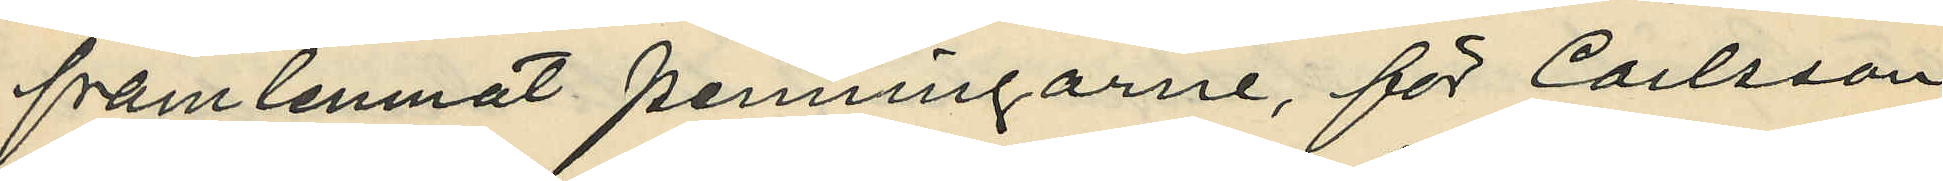framlemnat penningarne, för Carlsson
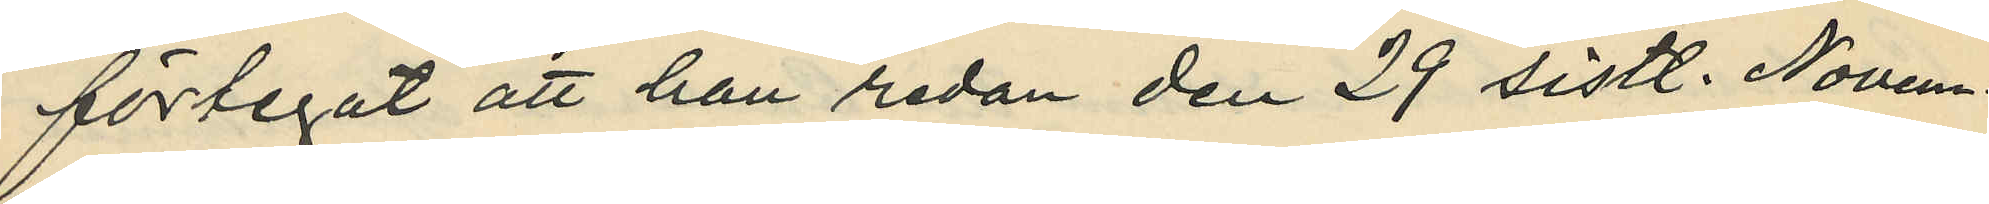förlegat att han redan de 29 sistl. Novem¬
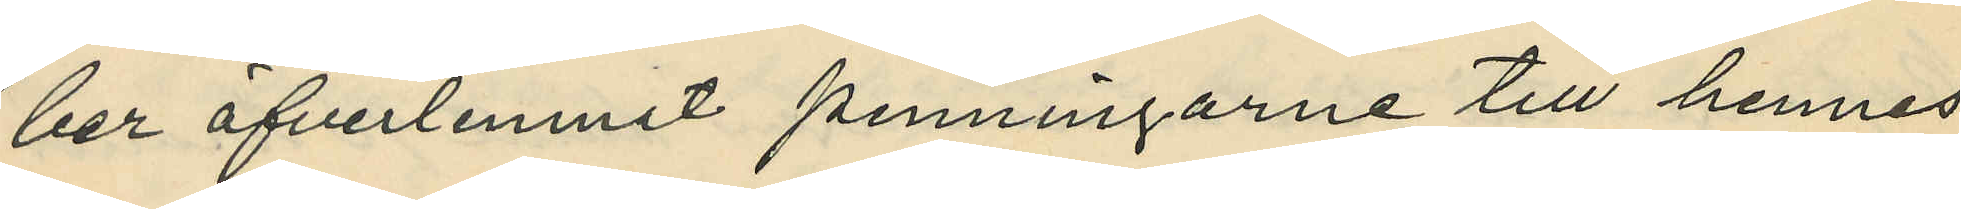ber öfverlemnat penningarne till hennes
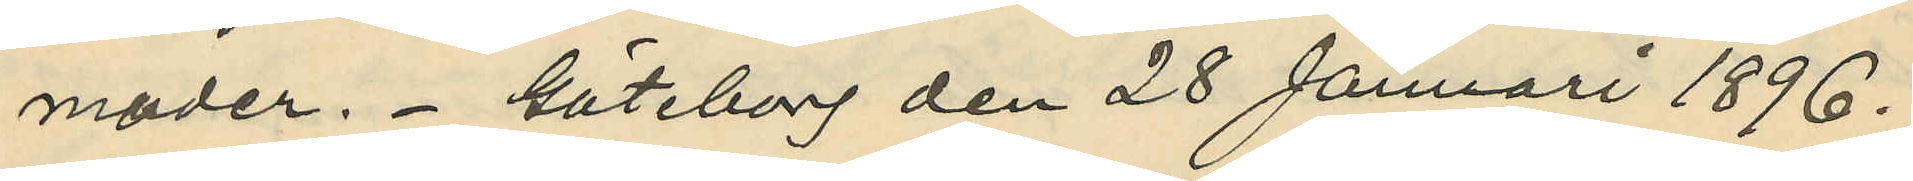moder. Göteborg den 28 Januari 1896.
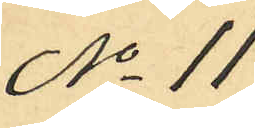No 11
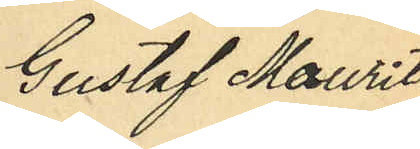Gustaf Mauritz
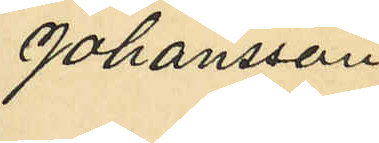Johansson
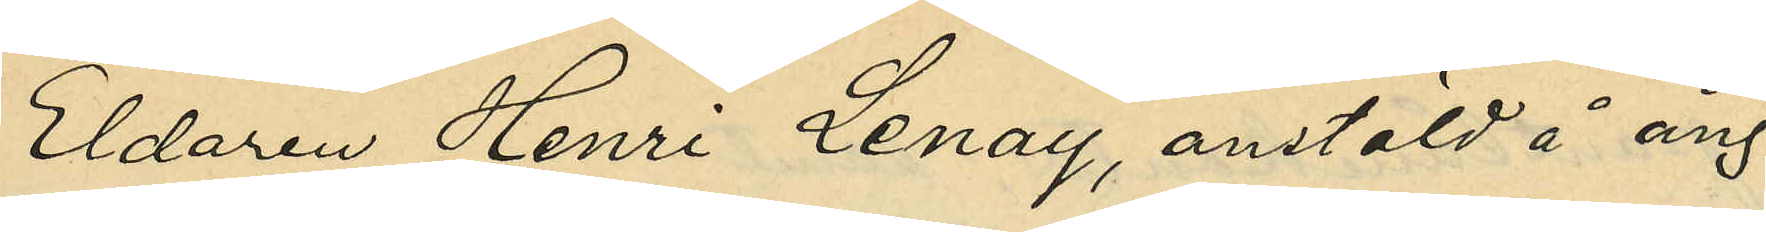Eldaren Henri Lenay, anstäld å ång¬
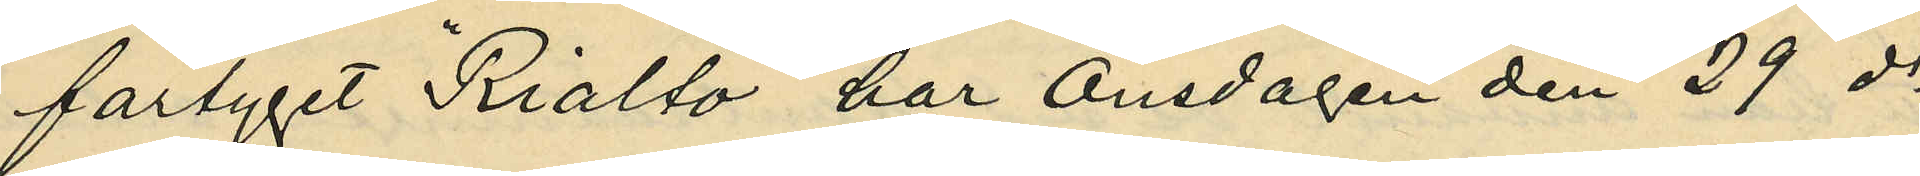fartyget "Rialto" har Onsdagen den 29 ds
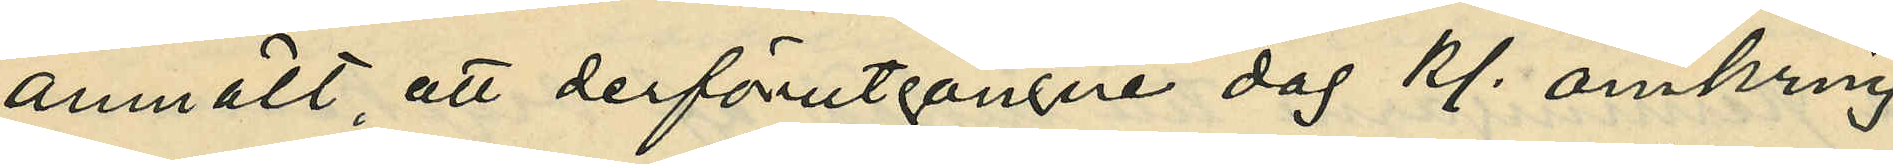anmält att derförutgångne dag kl. omkring
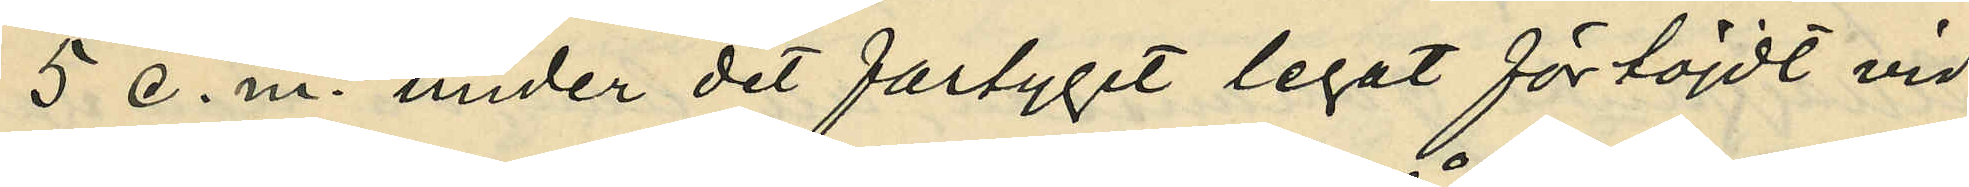5 e. m. under det fartyget legat förtöjdt vid
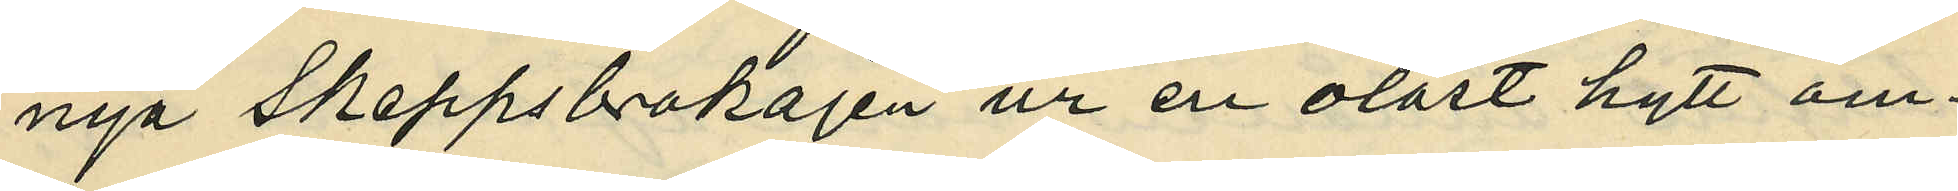nya Skeppsbrokajen ur en olåst hytt om¬
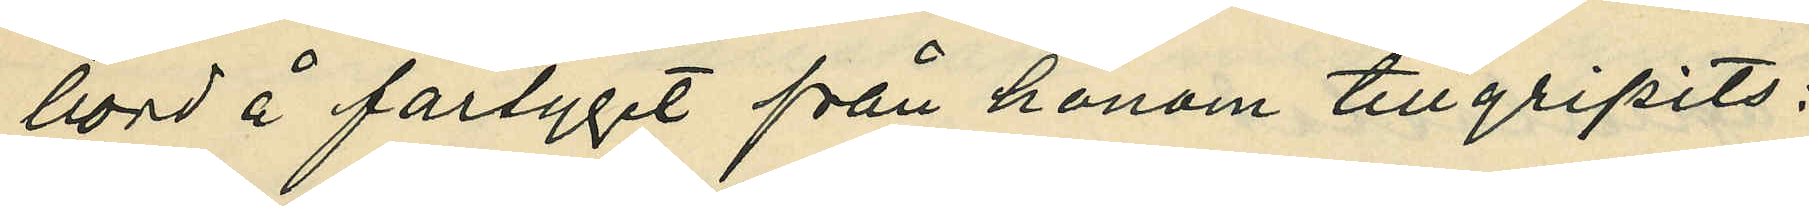bord å fartyget från honom tillgripits:
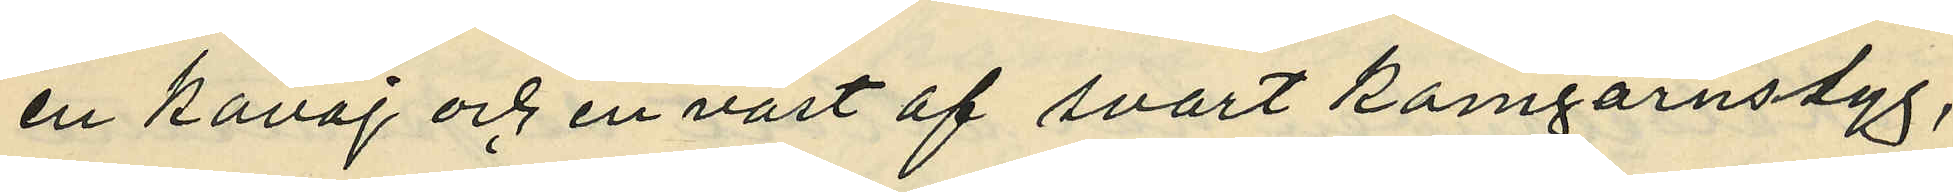en kavaj och en väst af svart kamgarnstyg,
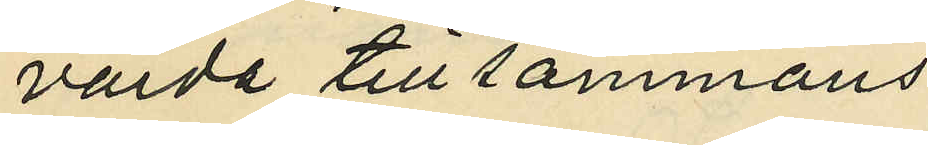värde tillsammans
